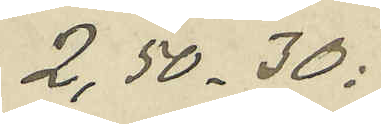2,50 - 30:
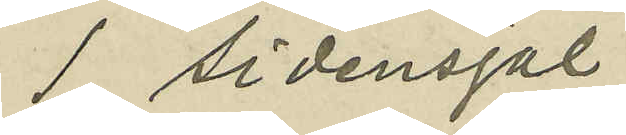1 sidensjal
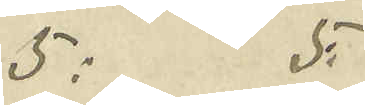5: 5:
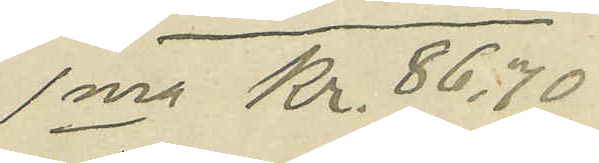Sma Kr. 86:70
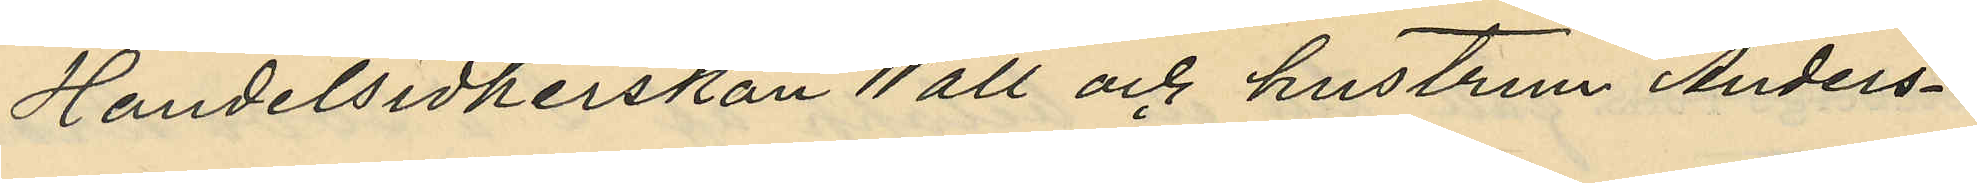Handelsidkerskan Wall och hustrun Anders¬
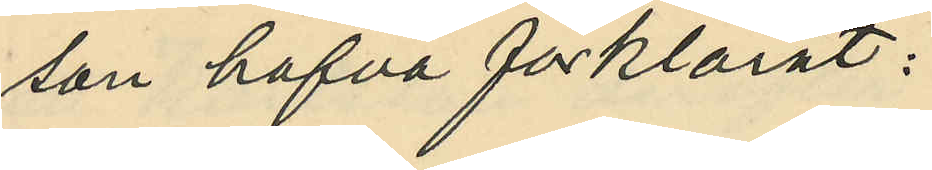son hafva förklarat:
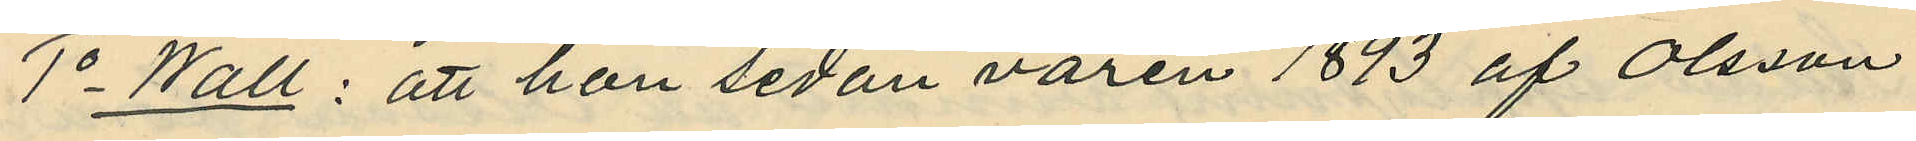1o Wall: att hon sedan våren 1893 af Olsson
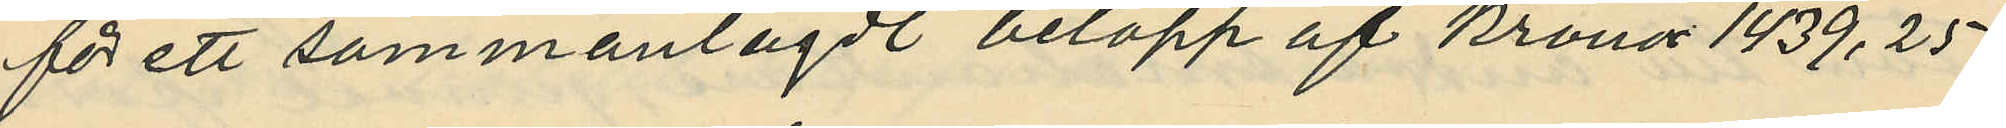för ett sammanlagdt belopp af Kronor 1439,25
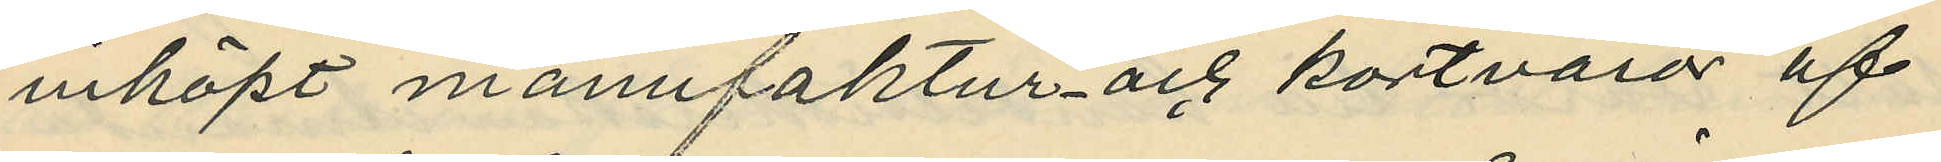inköpt manufaktur och kortvaror af
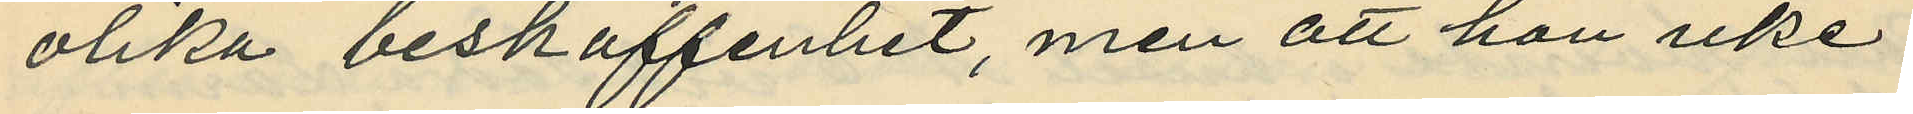olika beskaffenhet, men att hon icke
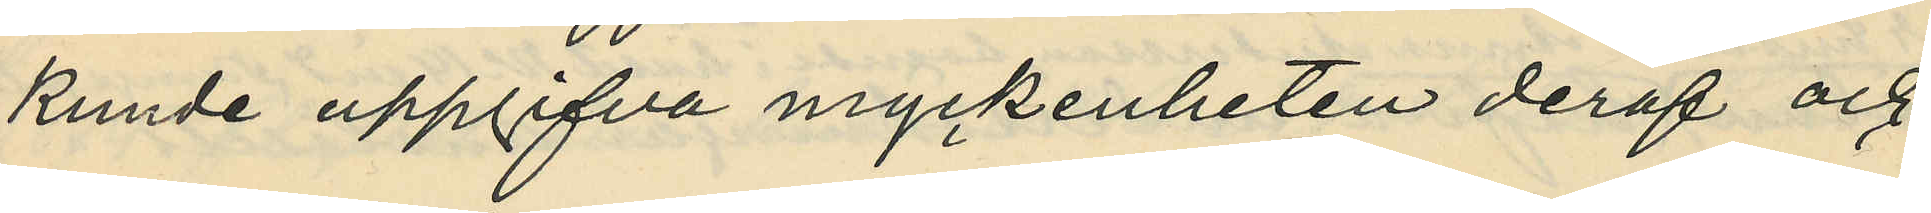kunde uppgifva myckenheten deraf och
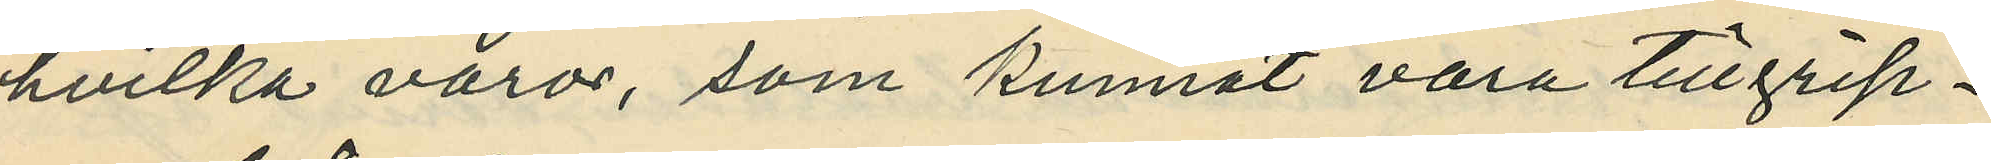hvilka varor, som kunnat vara tillgrip¬
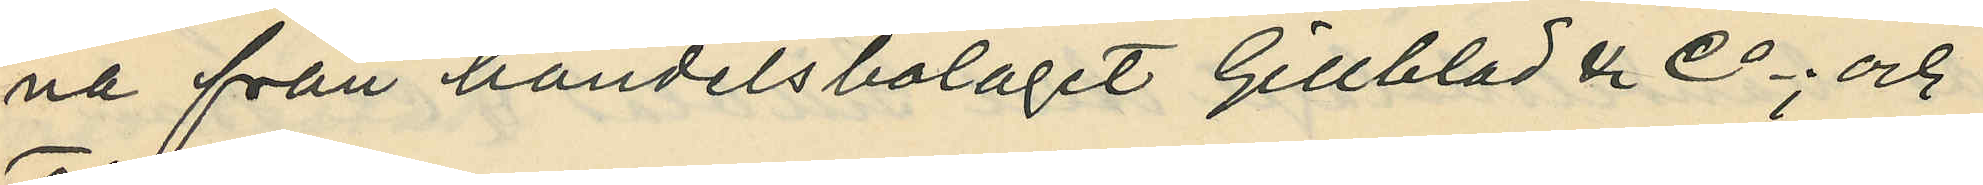na från handelsbolaget Gillblad & Co; och
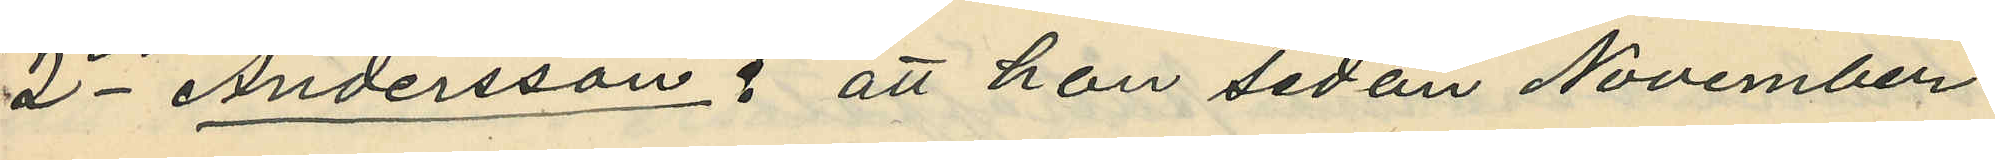2 Andersson, att hon sedan November
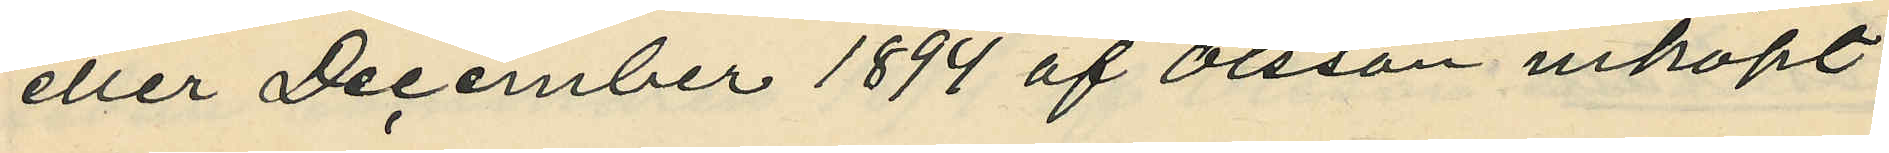eller December 1894 af Olsson inköpt
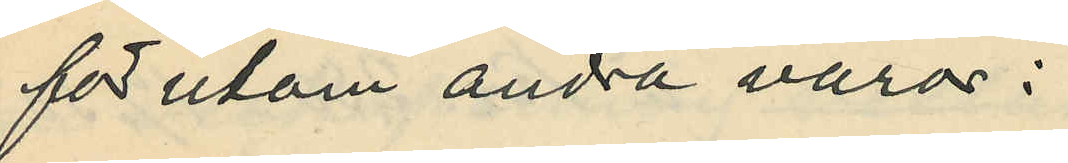för utom andra varor;
